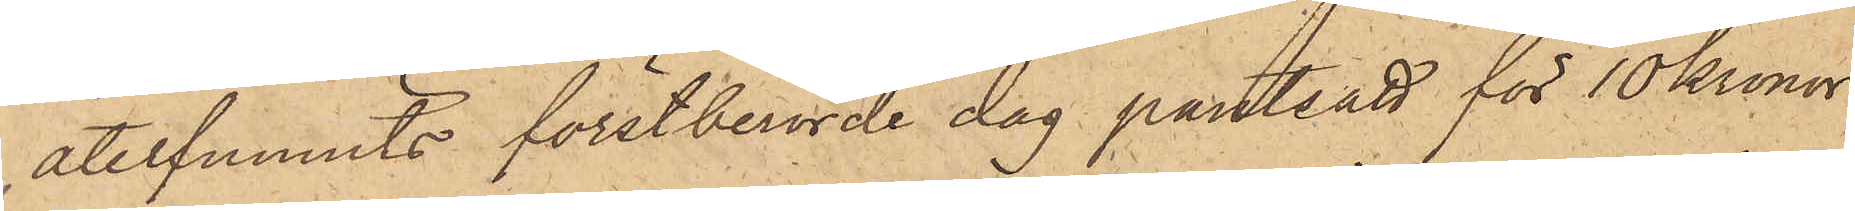återfunnits förstberörde dag pantsatt för 10 Kronor
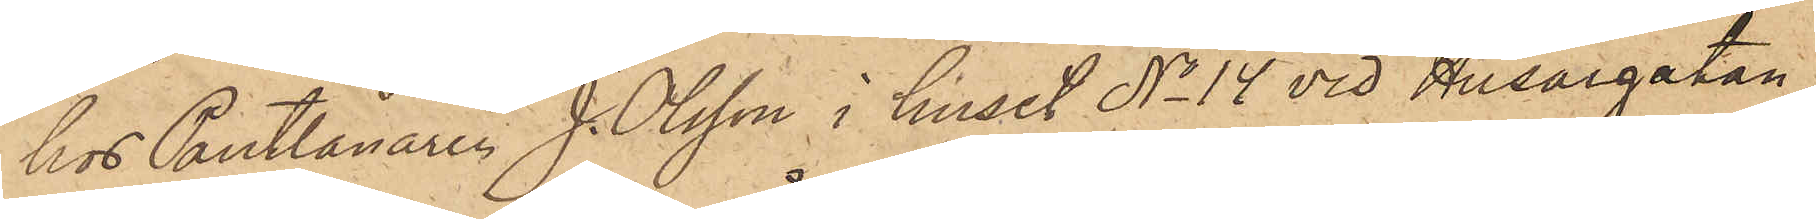hos Pantlånaren J. Olsson i huset No 14 vid Husargatan,
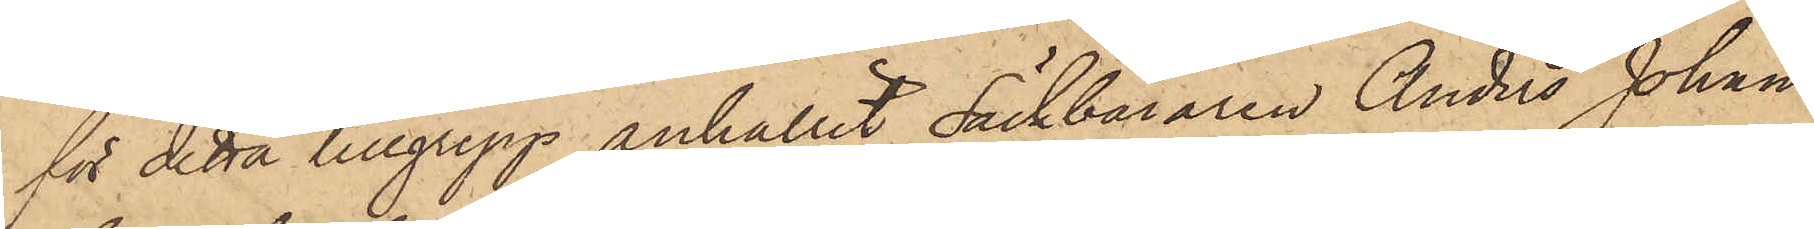för detta tillgrepp anhållit Säckbäraren Anders Johan
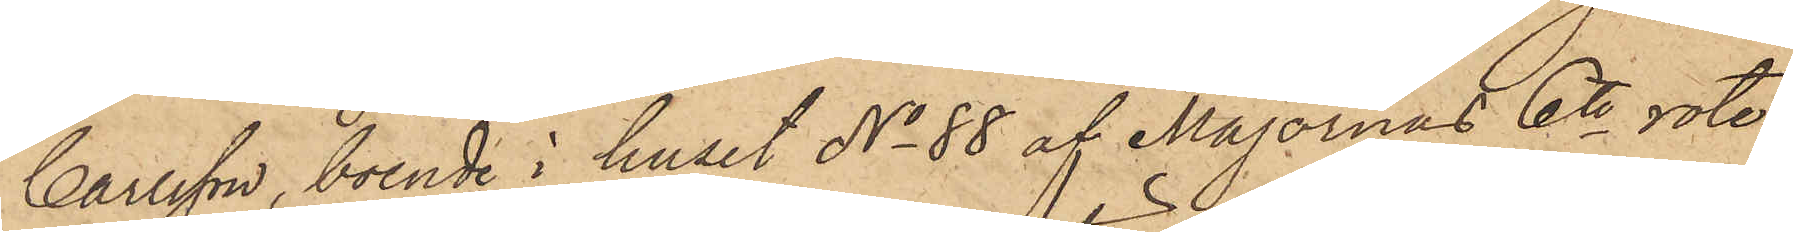Carlsson, boende i huset No 88 af Majornas 6te rote,
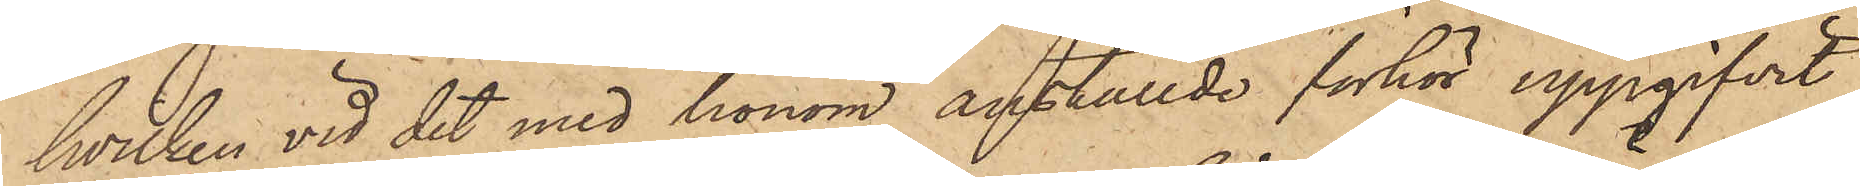hvilken vid det med honom anställde förhör uppgifvit,
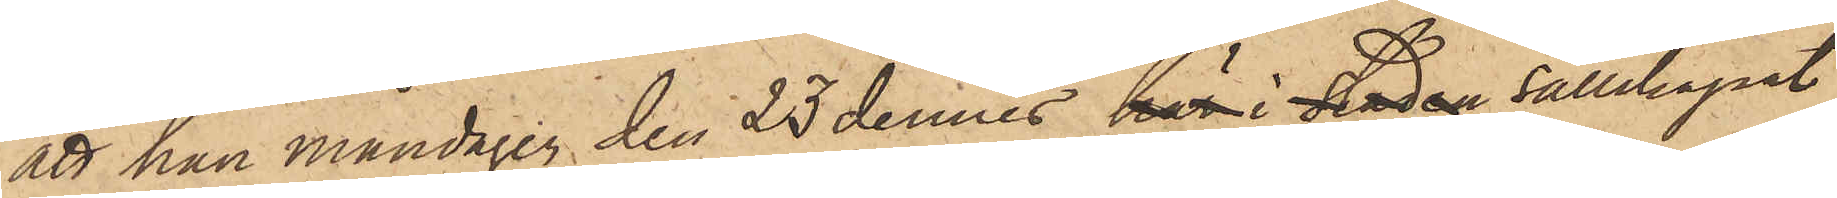att han måndagen den 23 dennes här i staden sällskapat
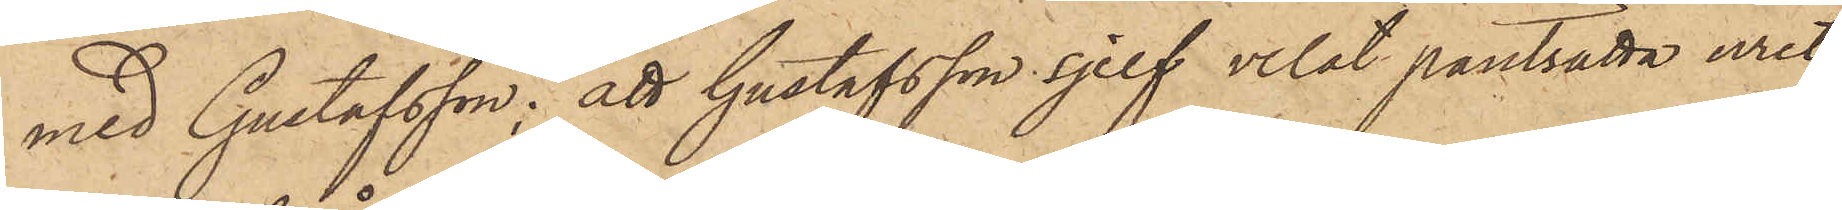med Gustafsson; att Gustafsson sjelf velat pantsätta uret
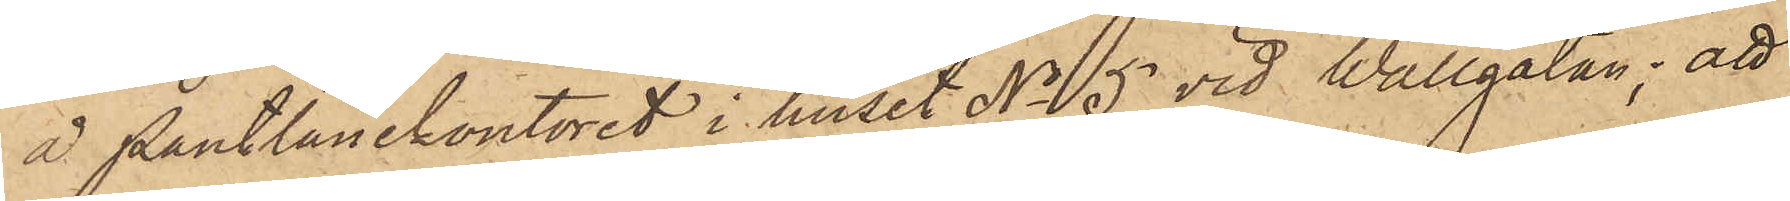å Pantlånekontoret i huset No 5 vid Wallgatan; att
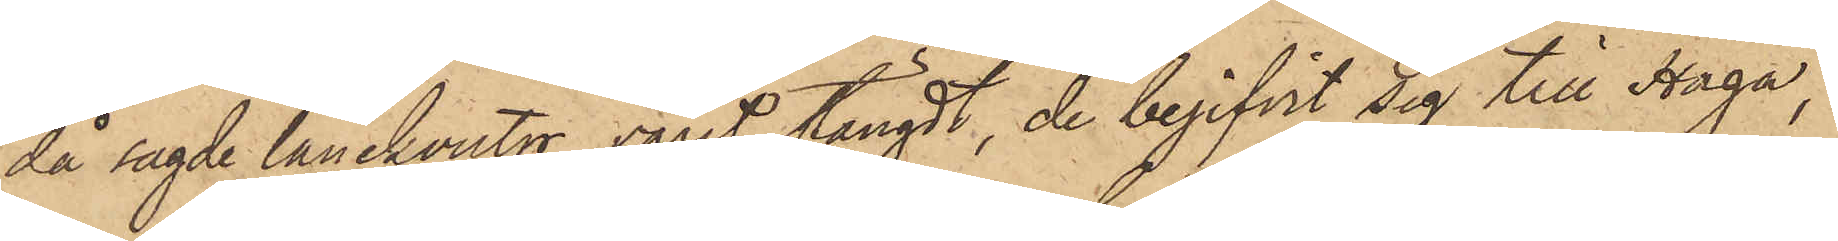då sagde lånekontor varit stängdt, de begifvit sig till Haga,
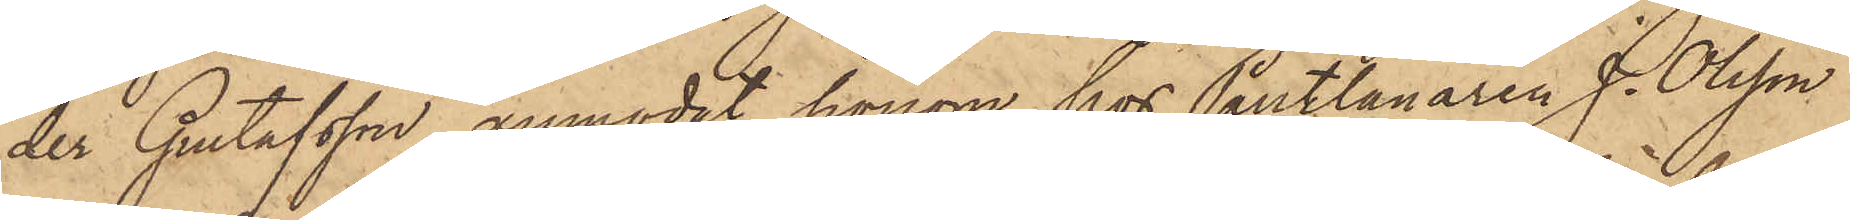der Gustafsson anmodat honom hos Pantlånaren J. Olsson
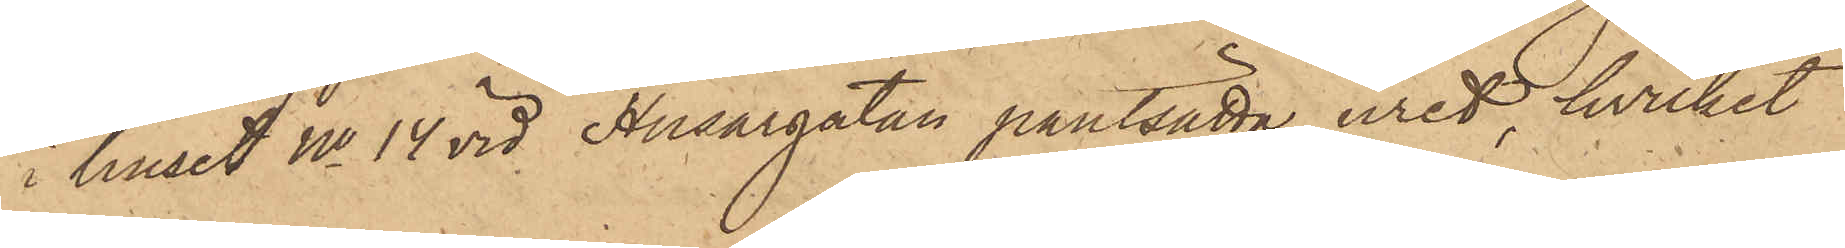i huset No 14 vid Husargatan pantsätta uret, hvilket
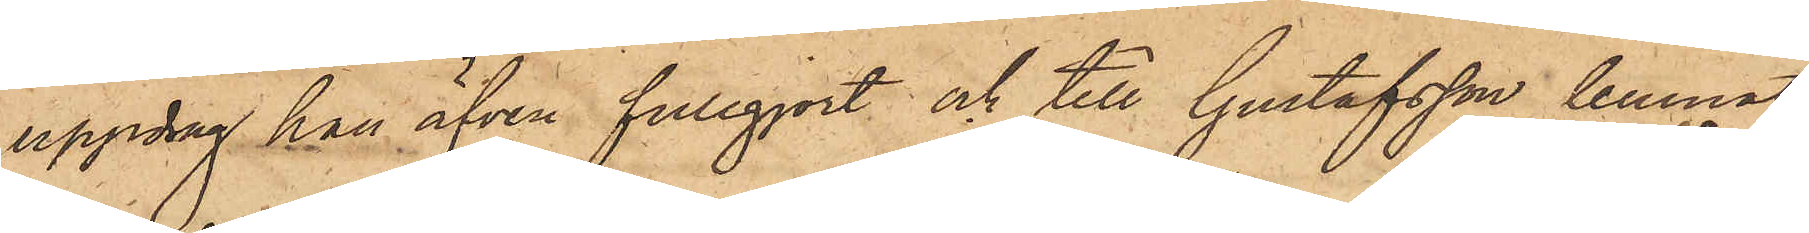uppdrag han äfven fullgjort och till Gustafsson lemnat
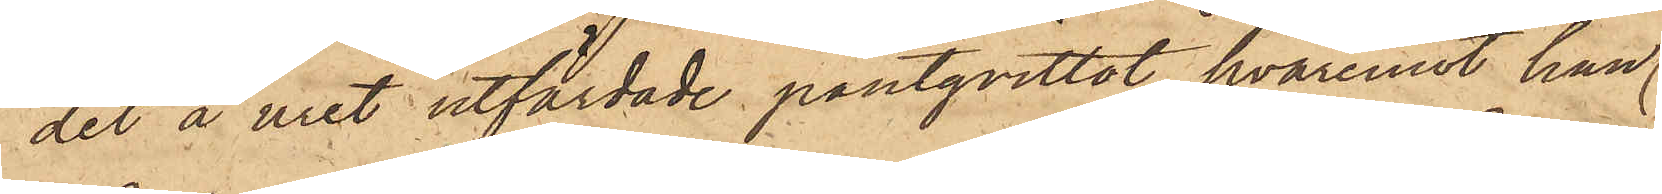det å uret utfärdade pantqvittot, hvaremot han
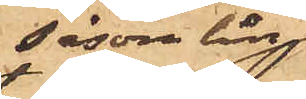såsom lån
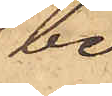be¬
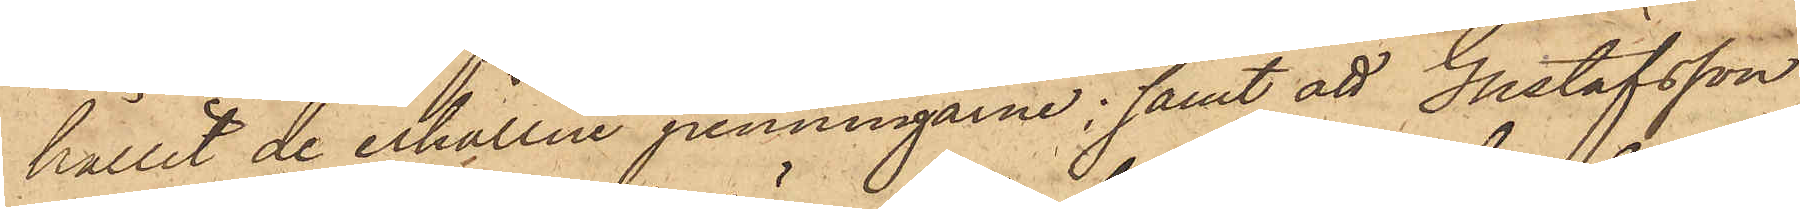hållit de erhållne penningarne; samt att Gustafsson
